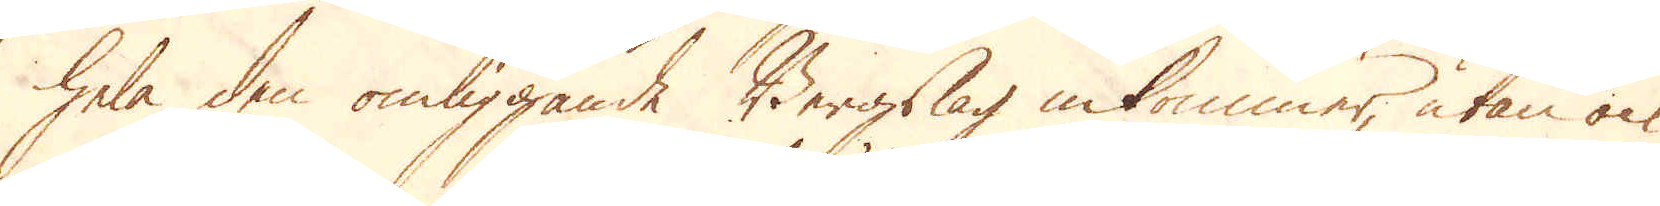hela den omliggande Bergslag inkommer, utan ock
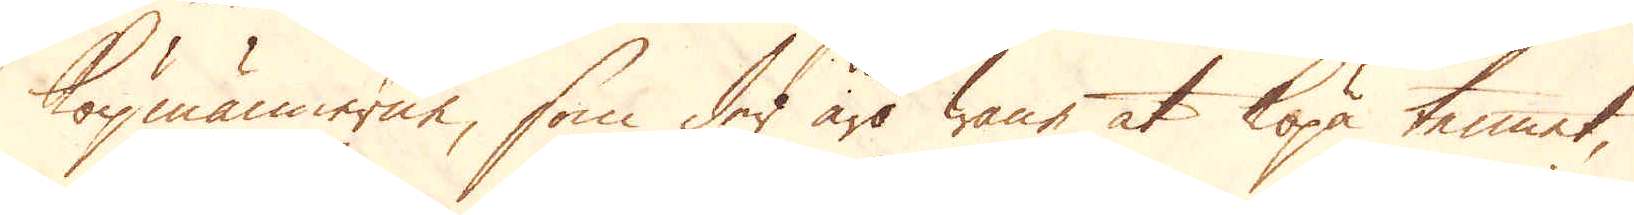köpmännerne, som der äro wane at köpa tennet,
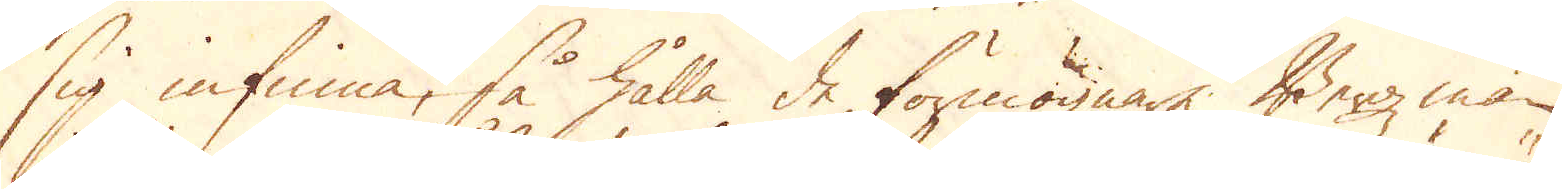sig infinna, så hålla de förmögnare Bergzmän
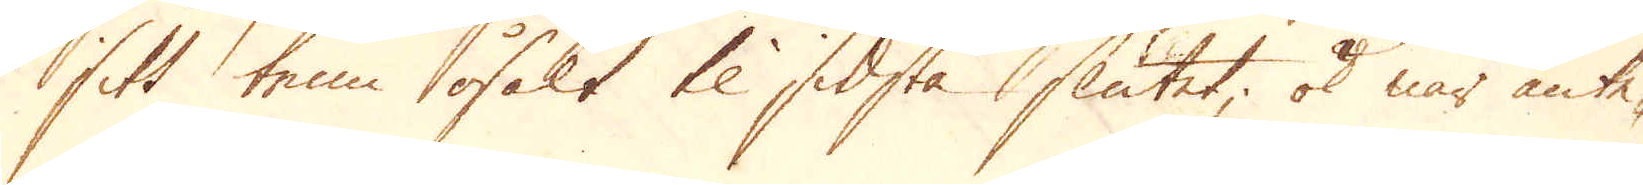sitt tenn osålt til sidsta slutet; ok när änte-
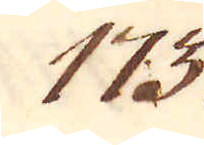173.
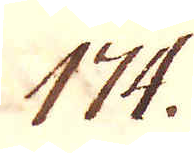174.
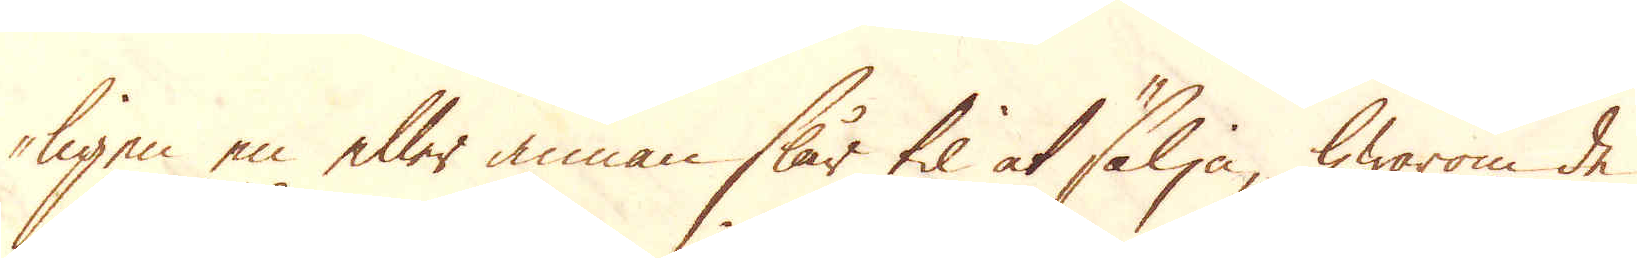ligen en eller annan slår til at sälja, hwarom de
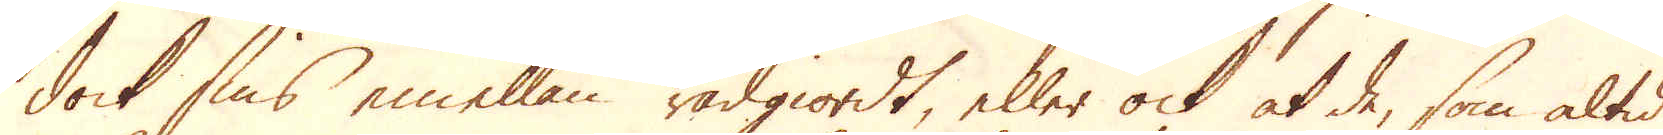dock sins emellan rådgiordt, eller ock at de, som altid
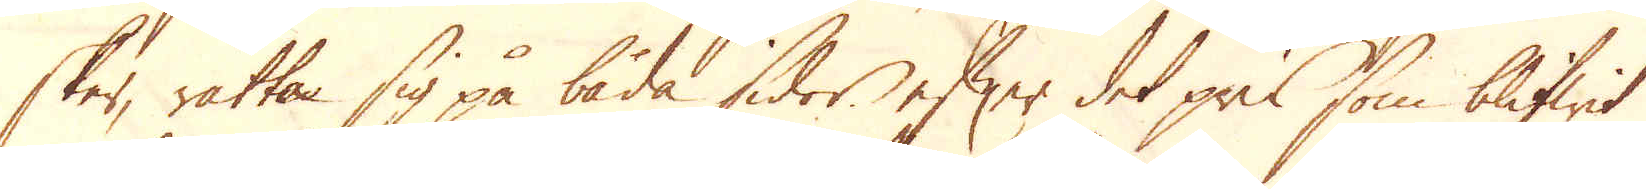sker, rätta sig på båda sidor efter det pris som blifwit
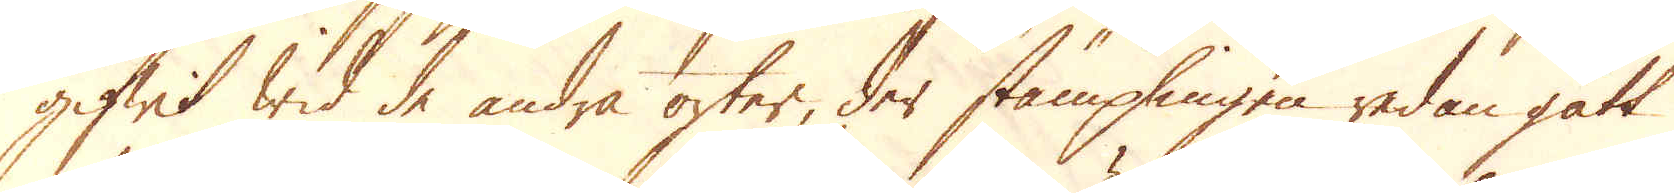gifwit wid de andra orter, der stämplingen redan gått
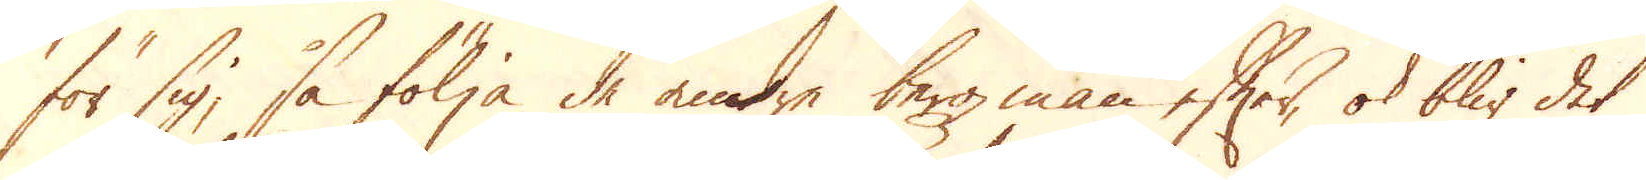för sig, så följa de andre bergz män efter, ok blir det
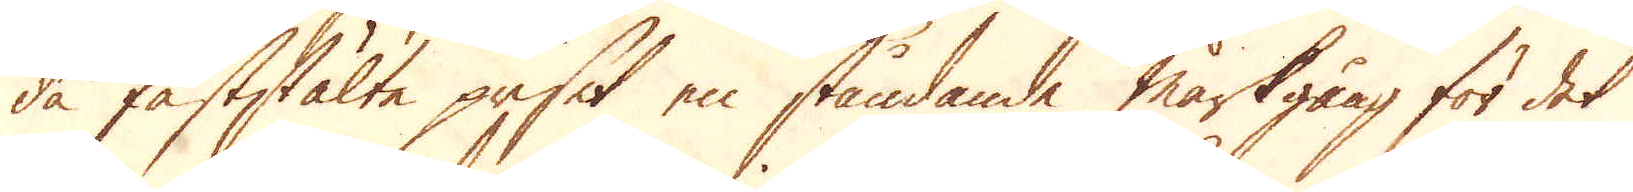då faststälte priset en ståndande markgång för det
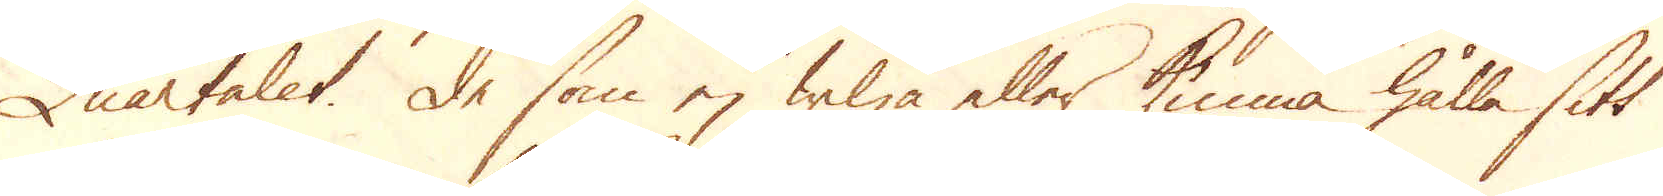Quartalet. De som ej wilja eller kunna hålla sitt
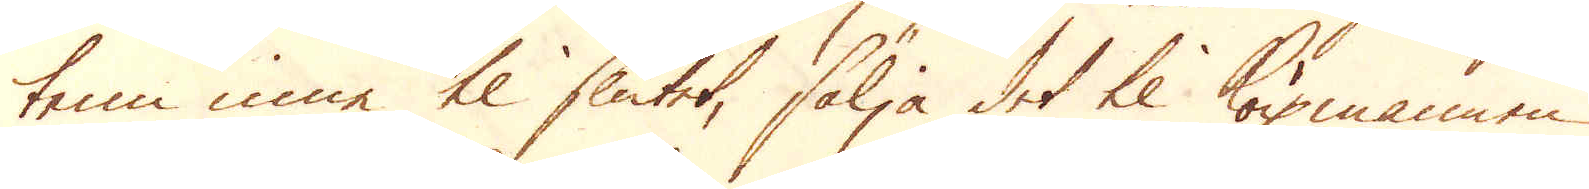tenn inne til slutet, sälja det til köpmannen
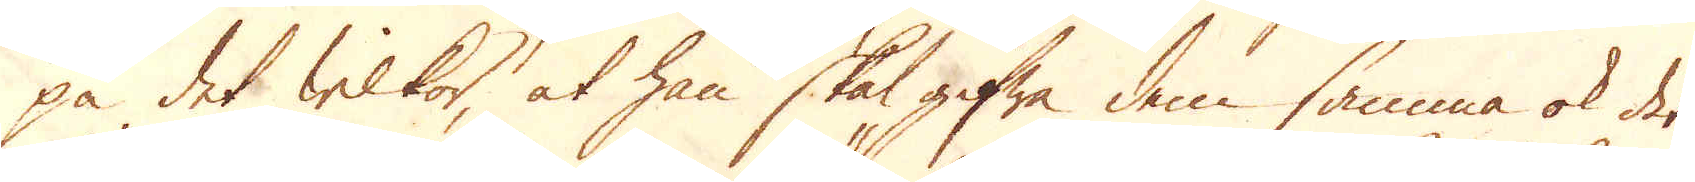på det wilkor, at han skal gifwa dem samma ok det
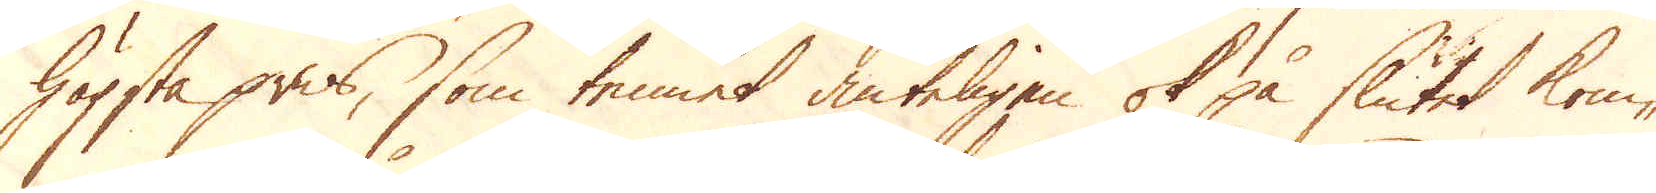högsta pris, som tennet änteligen ok på slutet kom-
